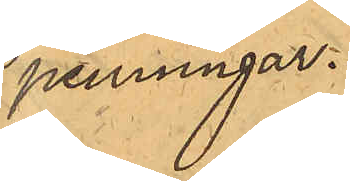penningar.
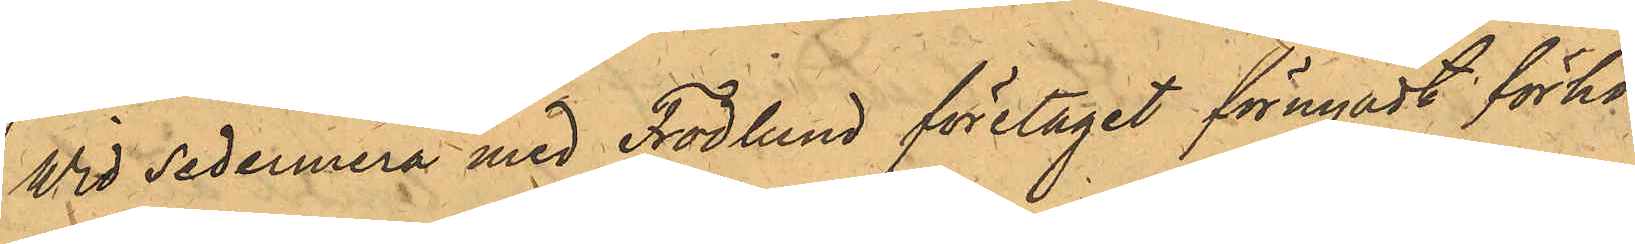Wid sedermera med Frodlund företaget förnyadt förhör
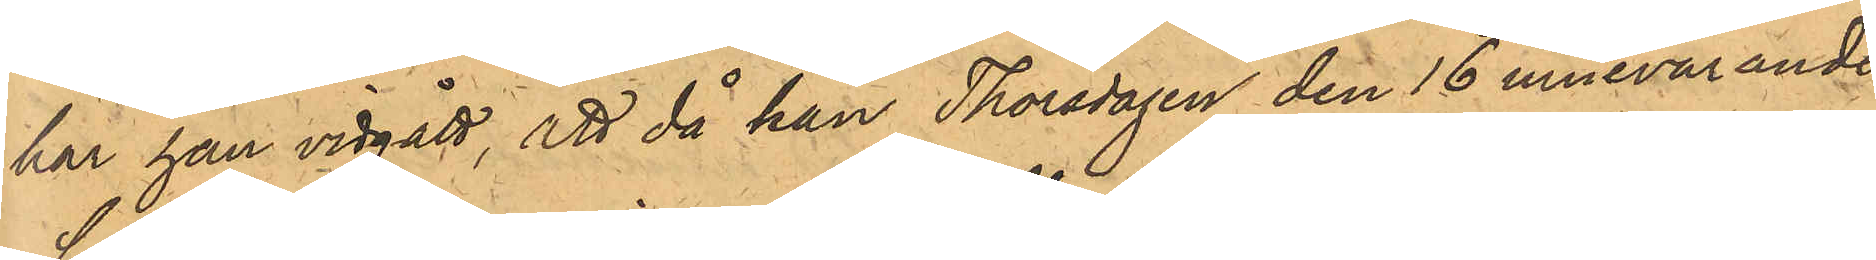har han vidgått, att då han Thorsdagen den 16 innevarande
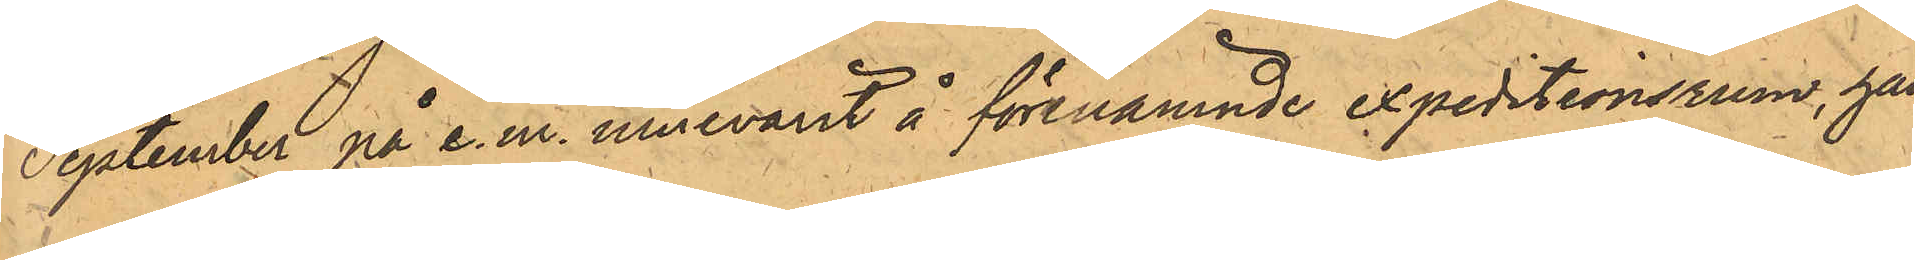September på e.m. innevarit å förenämnde expeditionsrum, han
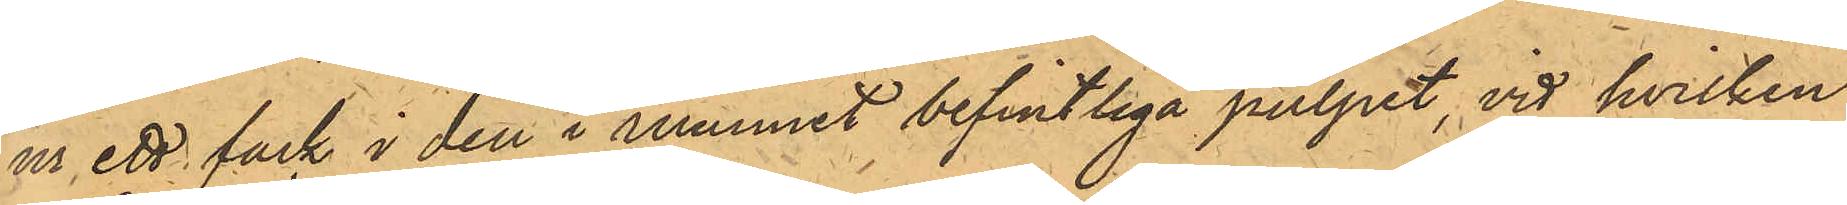ur ett fack i den i rummet befintliga pulpet, vid hvilken
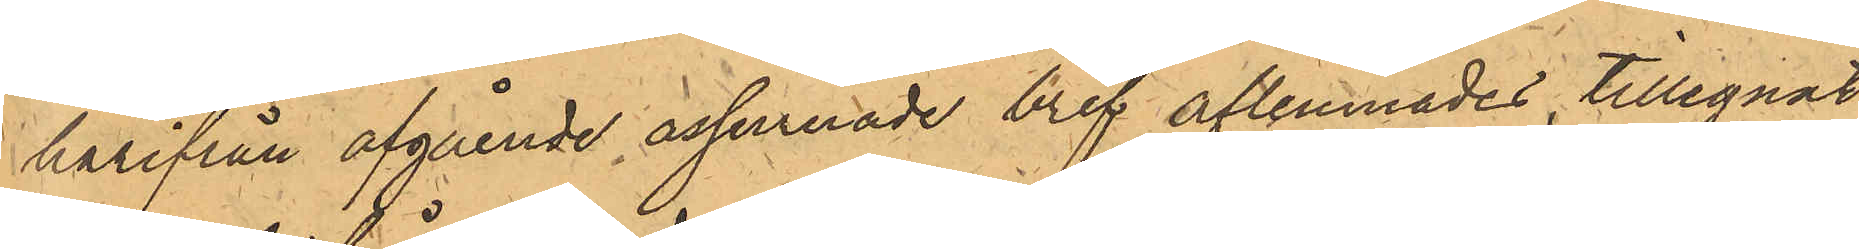härifrån afgående assurerade bref aflemnades, tillegnat
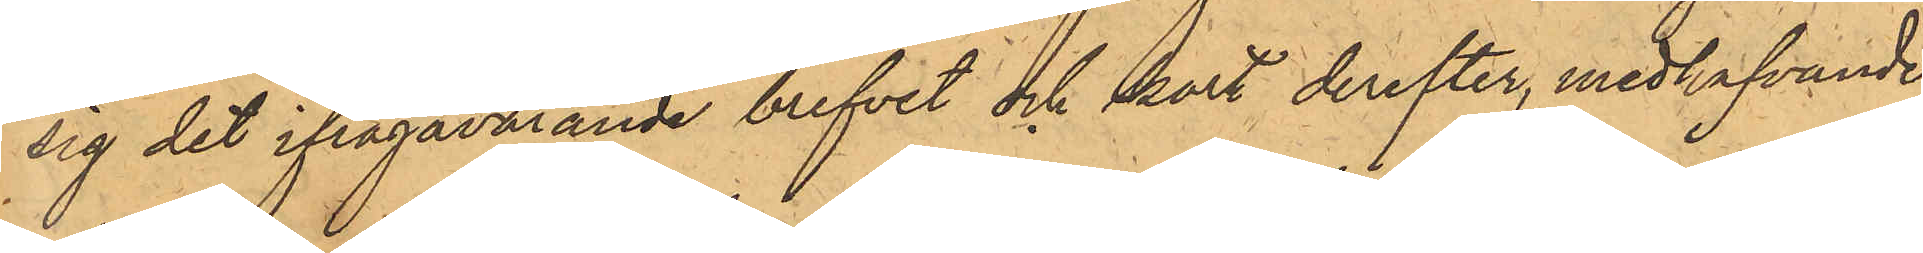sig det ifrågavarande brefvet och kort derefter, medhafvande
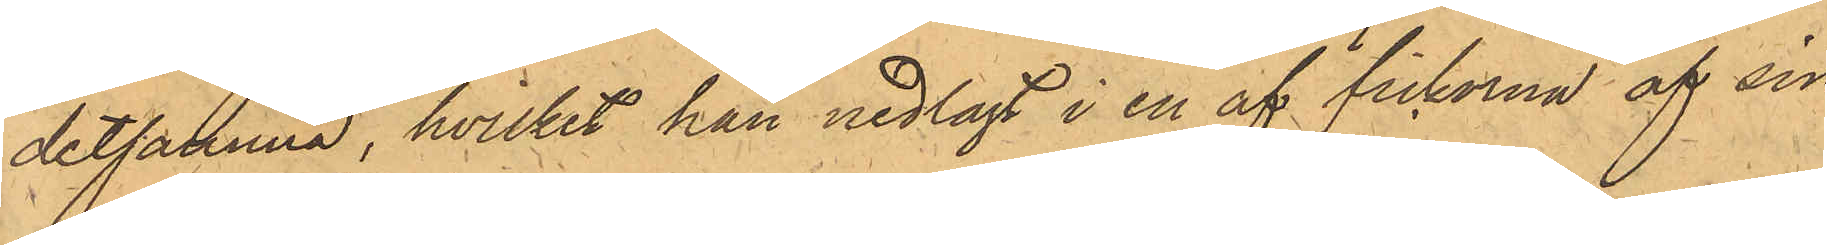detsamma, hvilket han nedlagt i en af fickorna af sin
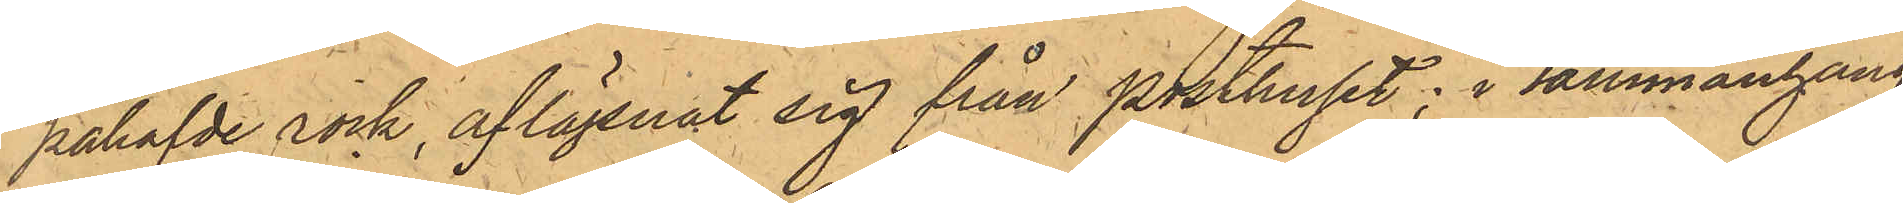påhafvde rock, aflägsnat sig från Posthuset; i sammanhang
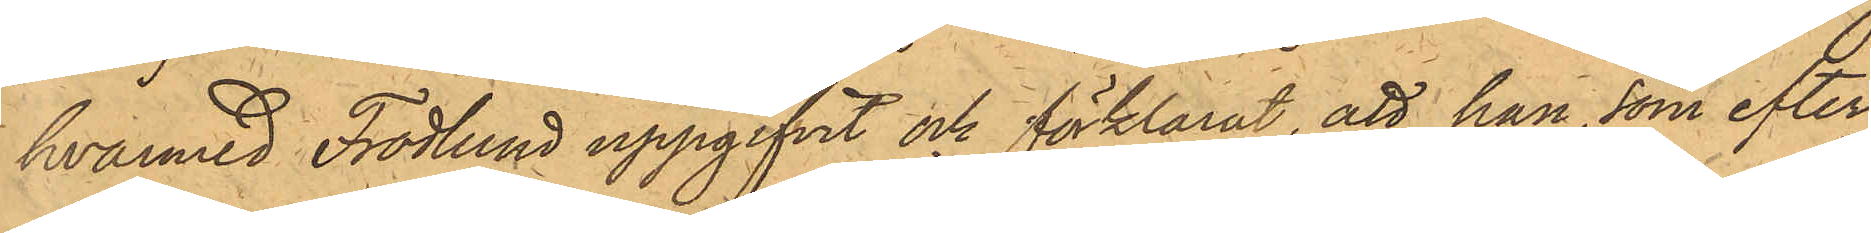hvarmed Frodlund uppgifvit och förklarat, att han, som efter
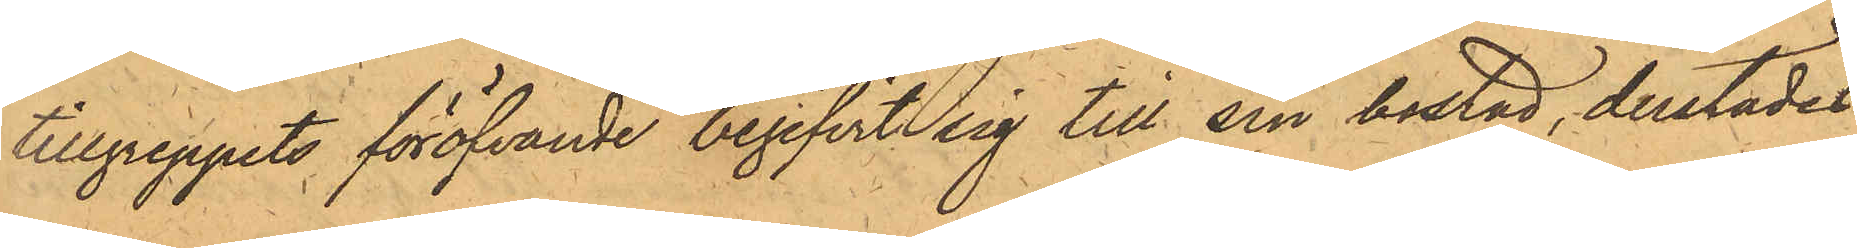tillgreppets föröfvande begifvit sig till sin bostad, derstädes
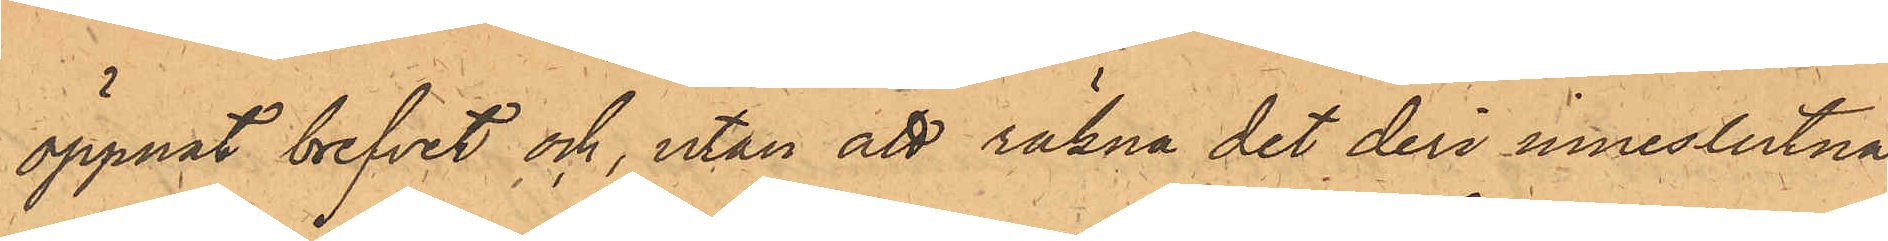öppnat brefvet och, utan att räkna det deri inneslutna
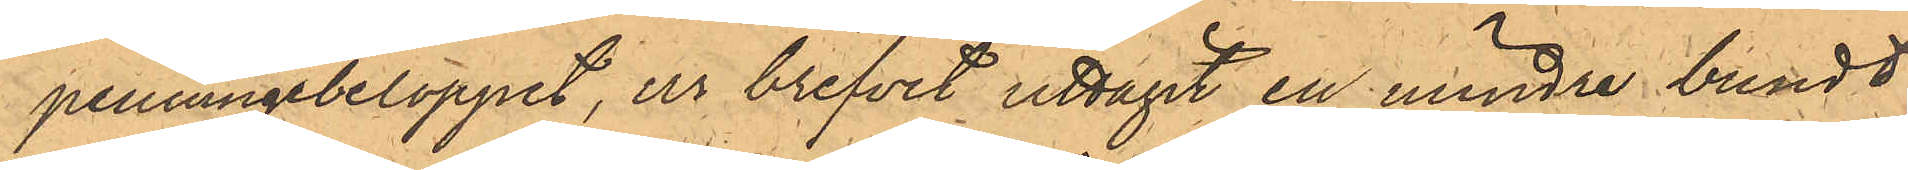penningebeloppet, ur brefvet uttagit en mindre bundt
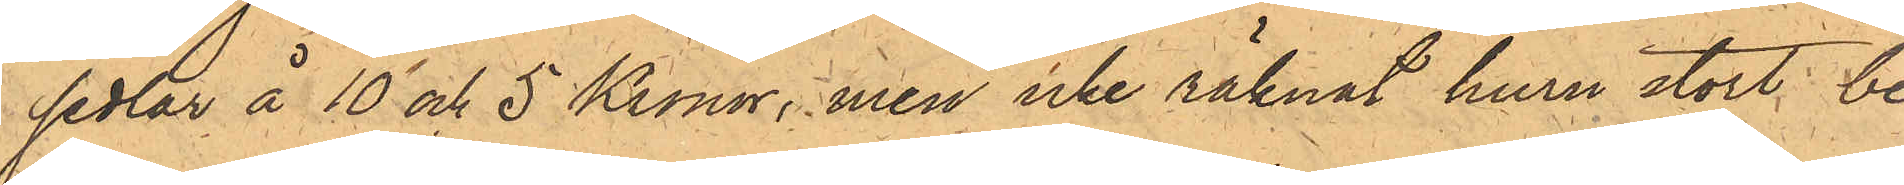sedlar å 10 och 5 Kronor, men icke räknat huru stort be¬
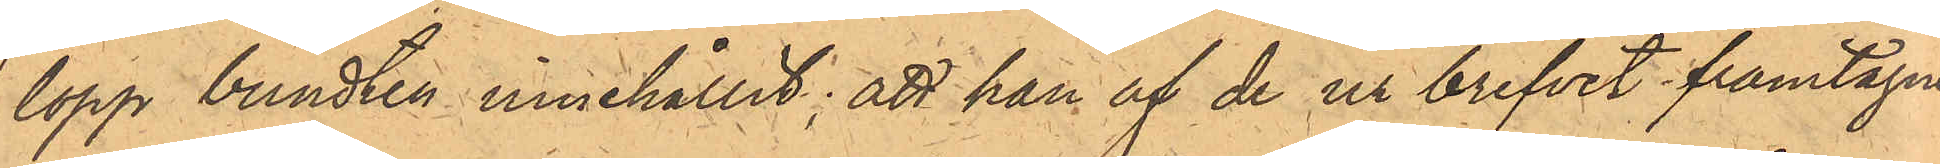lopp bundten innehållit; att han af de ur brefvet framtagne
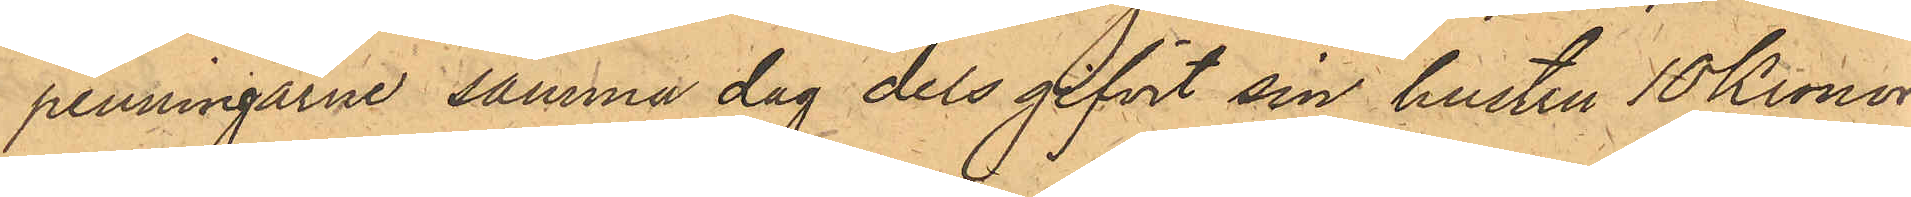penningarne samma dag dels gifvit sin hustru 10 Kronor,
